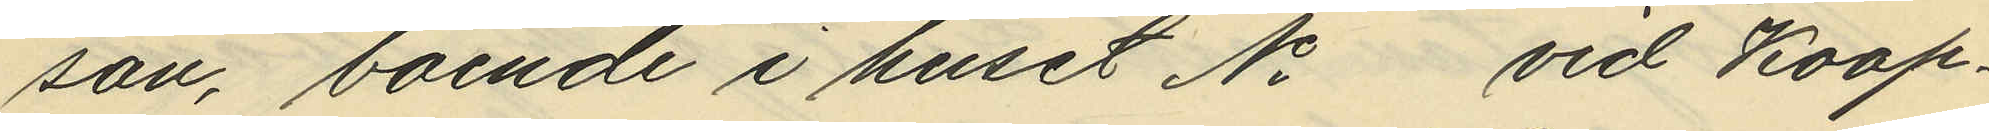son, boende i huset No vid Koop¬
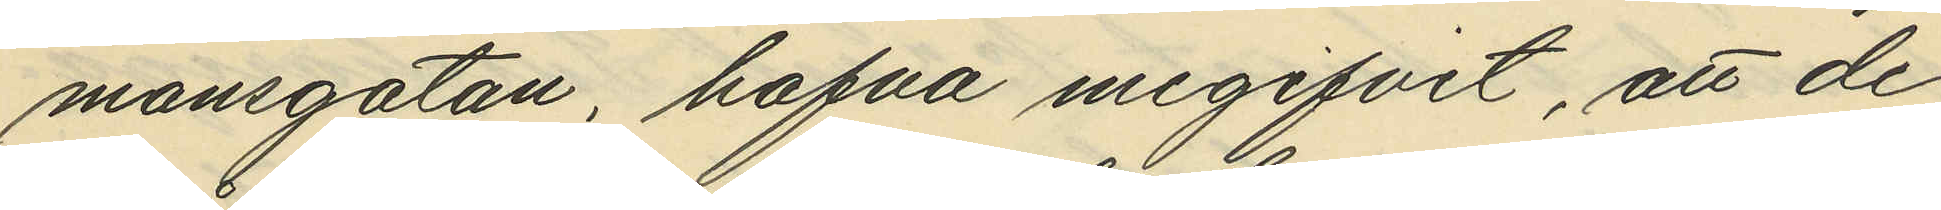mansgatan, hafva megifvit, att de
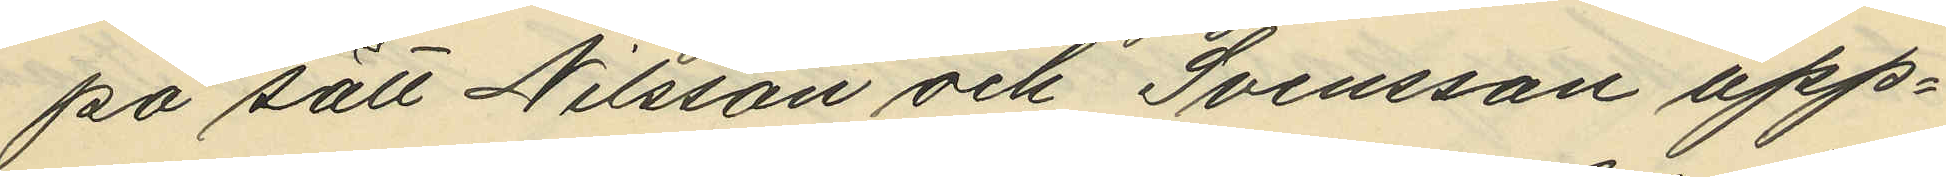på sätt Nilsson och Svensson upp¬
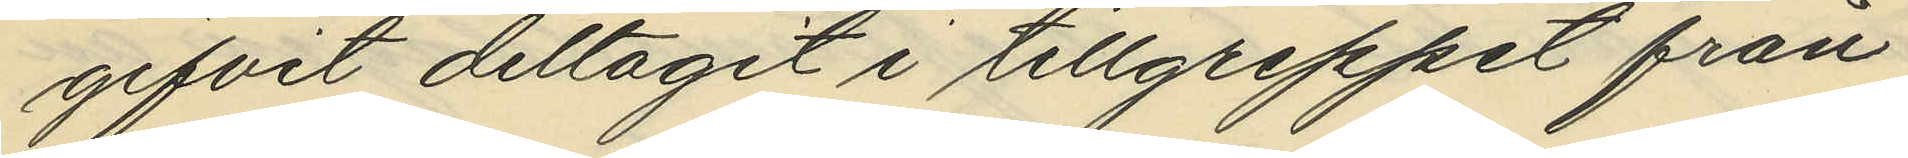gifvit deltagit i tillgreppet från
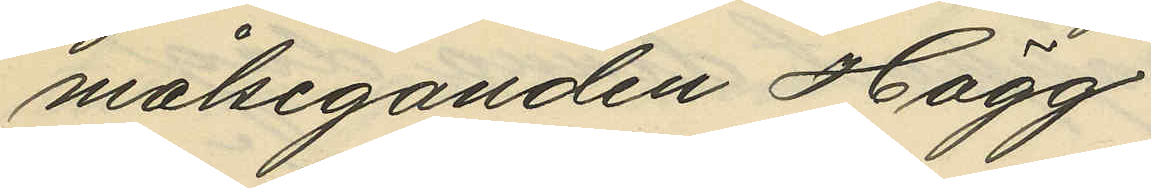målseganden Hägg.
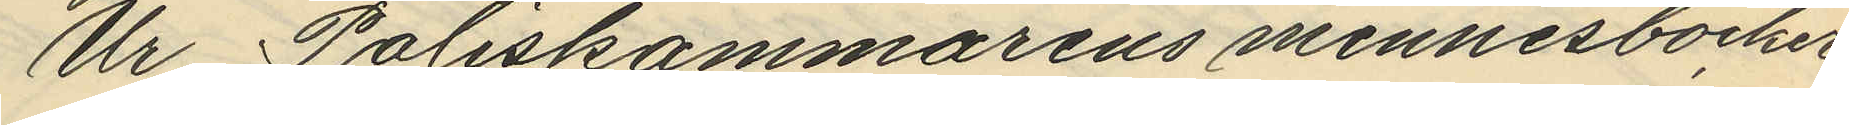Ur Poliskammarens minnesböcker
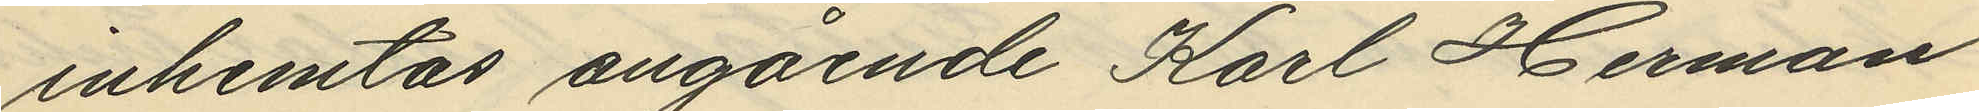inhemtas angående Karl Herman
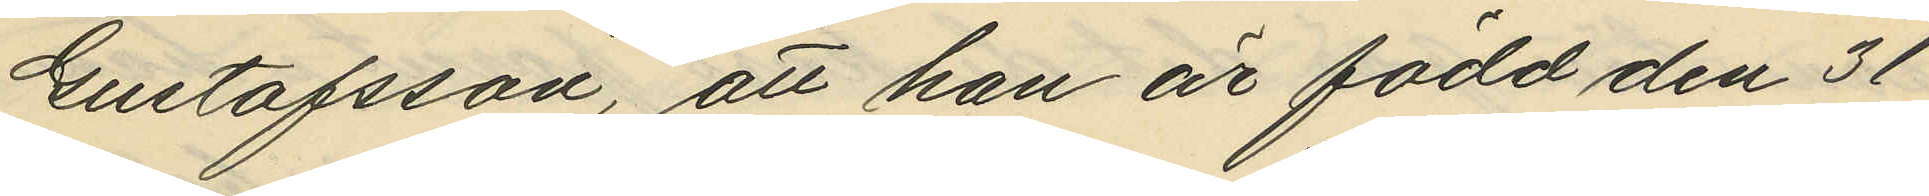Gustafsson, att han är född den 31
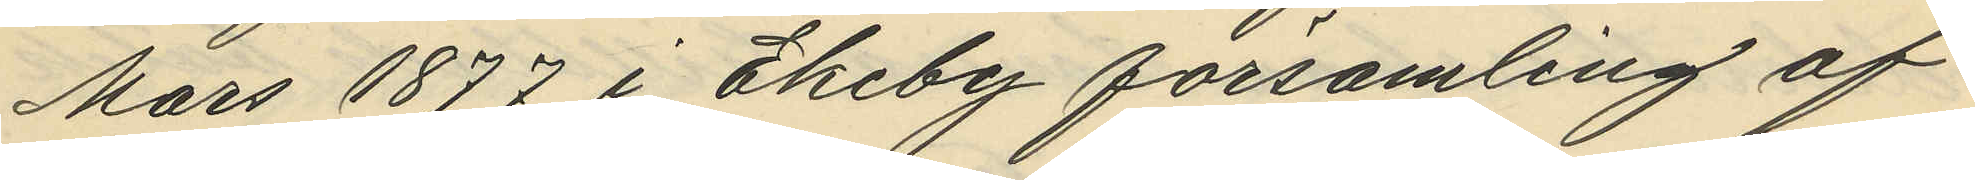Mars 1877 i Ekeby församling af
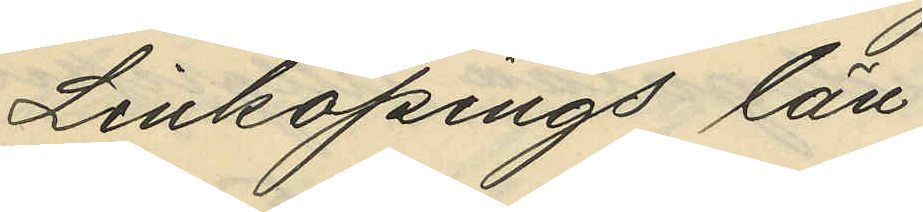Linköpings län;
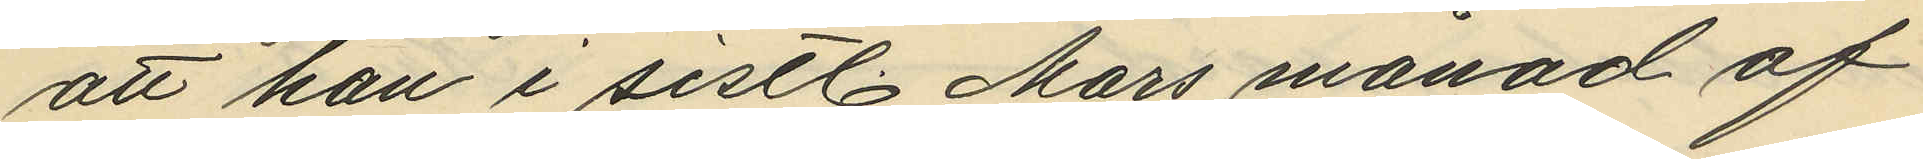att han i sistl. Mars månad af
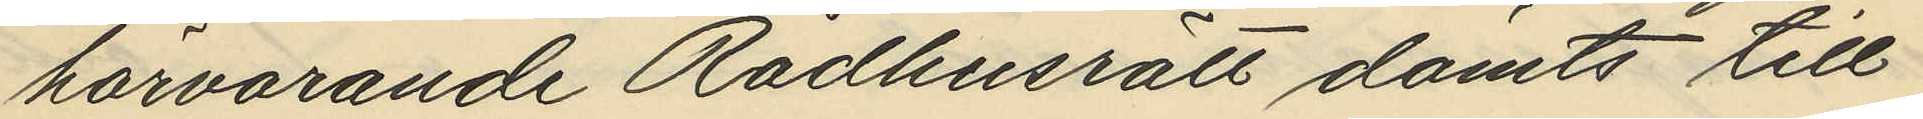härvarande Rådhusrätt dömts till
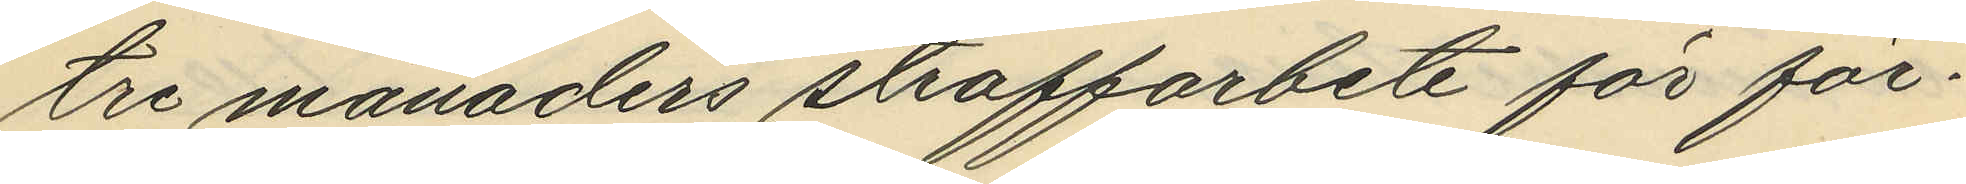tre månaders straffarbete för för¬
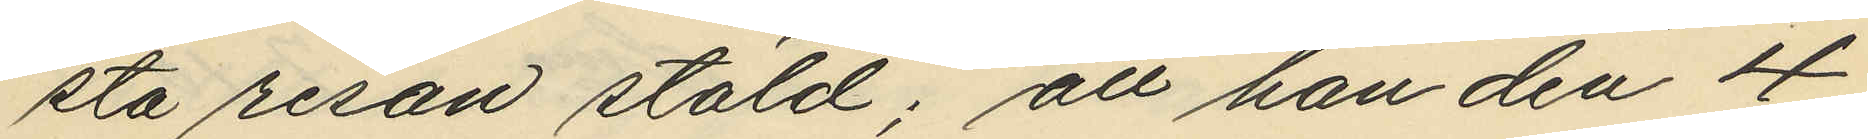sta resan stöld; att han den 4
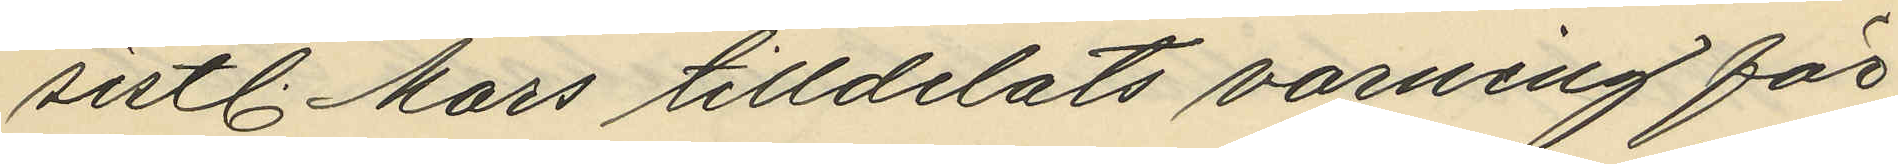sistl. Mars tilldelats varning för
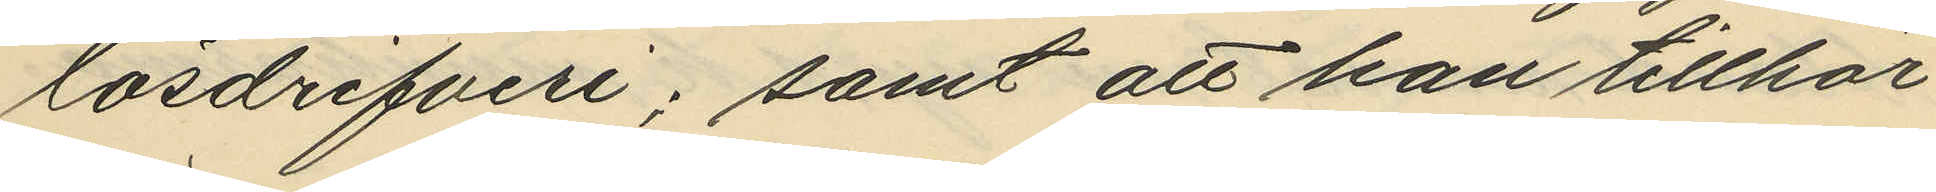lösdrifveri; samt att han tillhör
